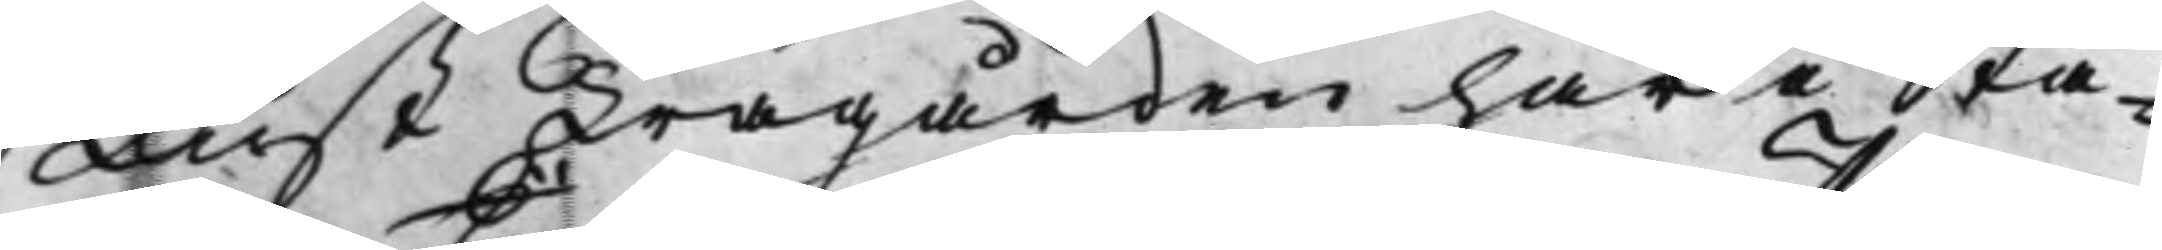Lust Trägården här i Sta¬
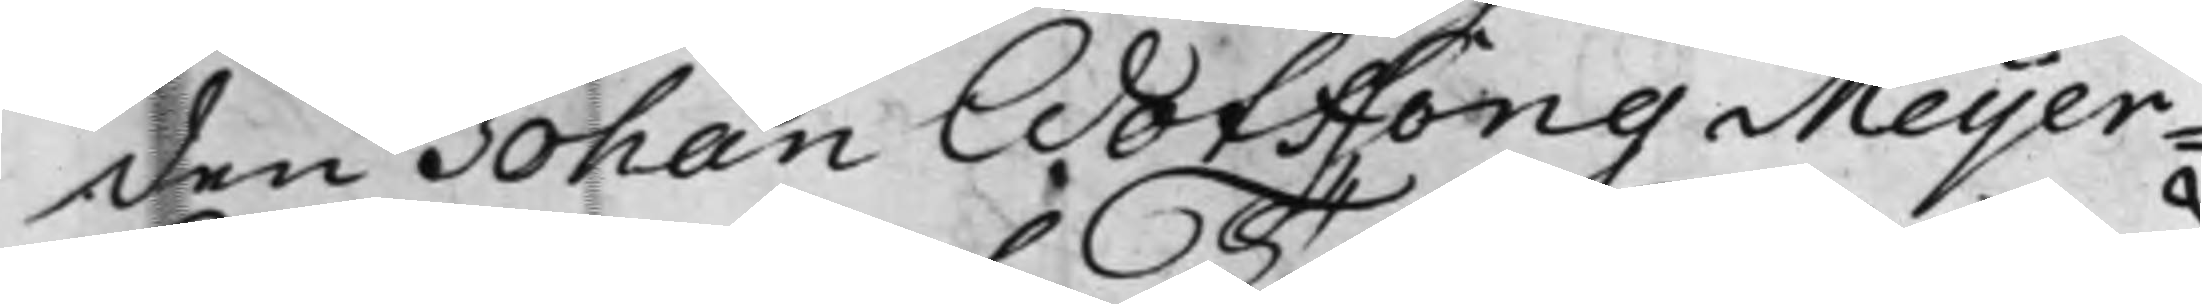den Johan Wotffong Meijer¬
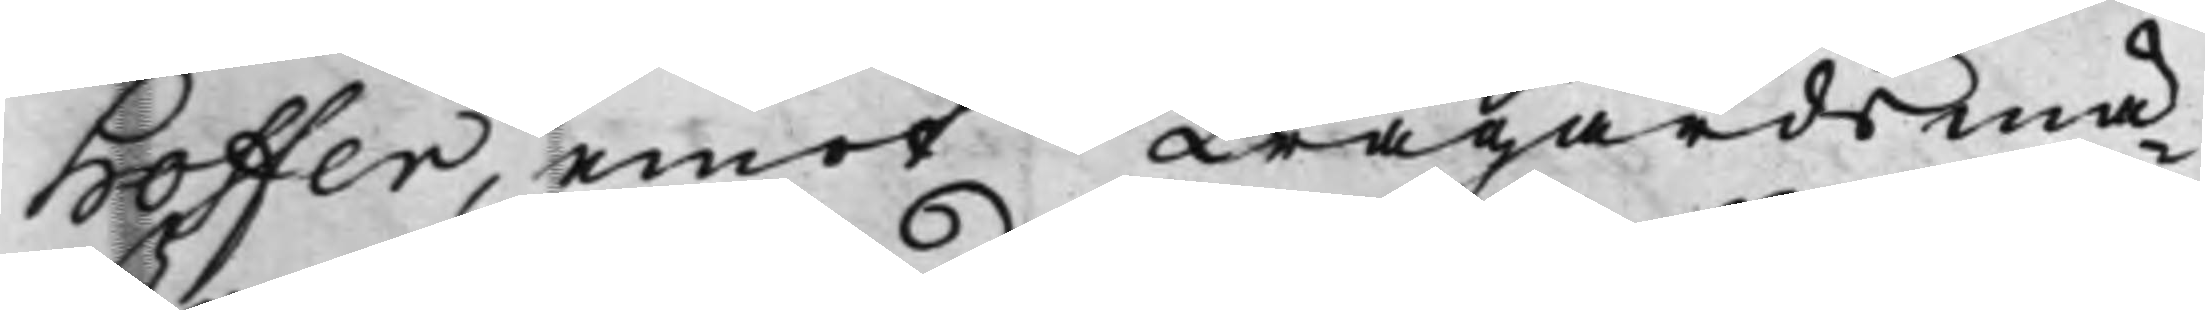hoffer, emot Trägårdsmä¬
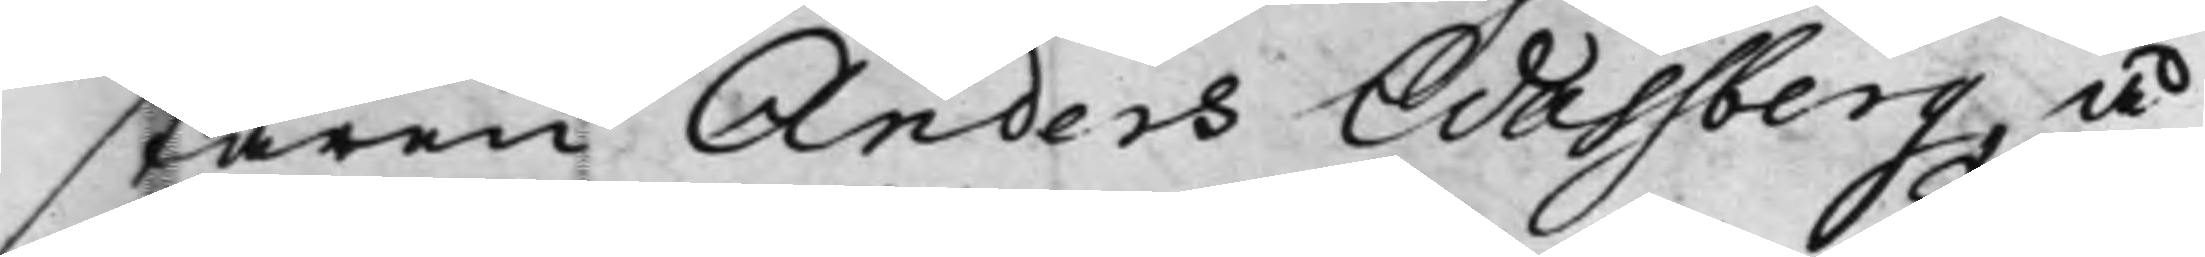staren Anders Wassberg, å
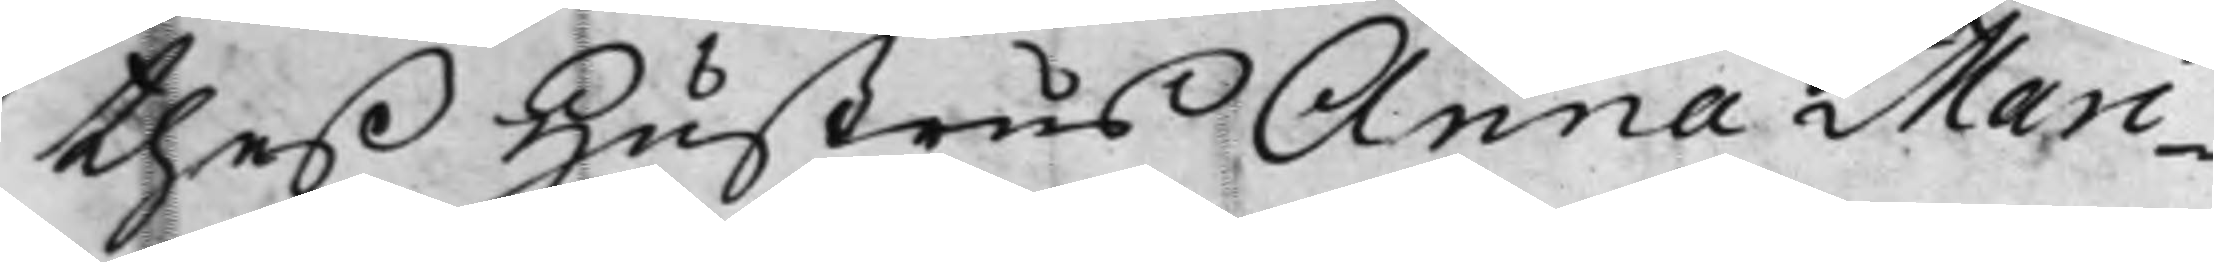theß Hustrus Anna Mari¬
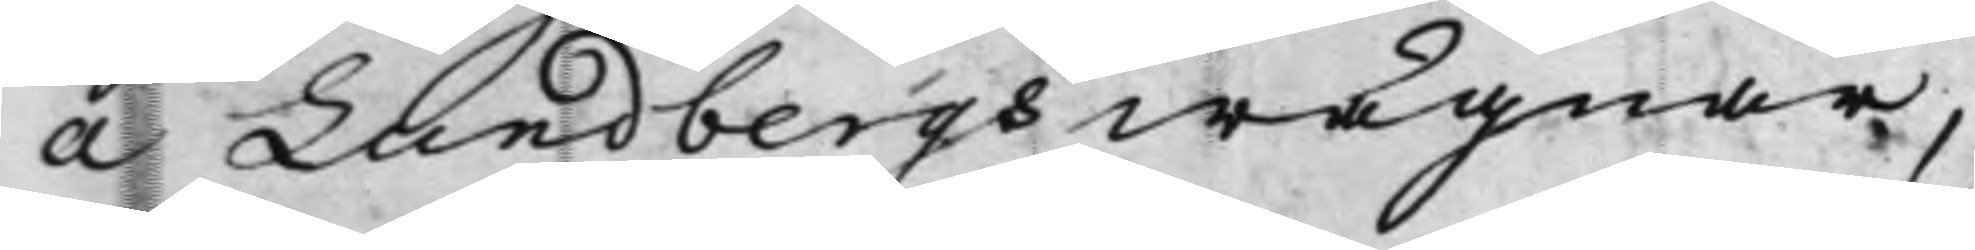a Lundbergs wägnar,
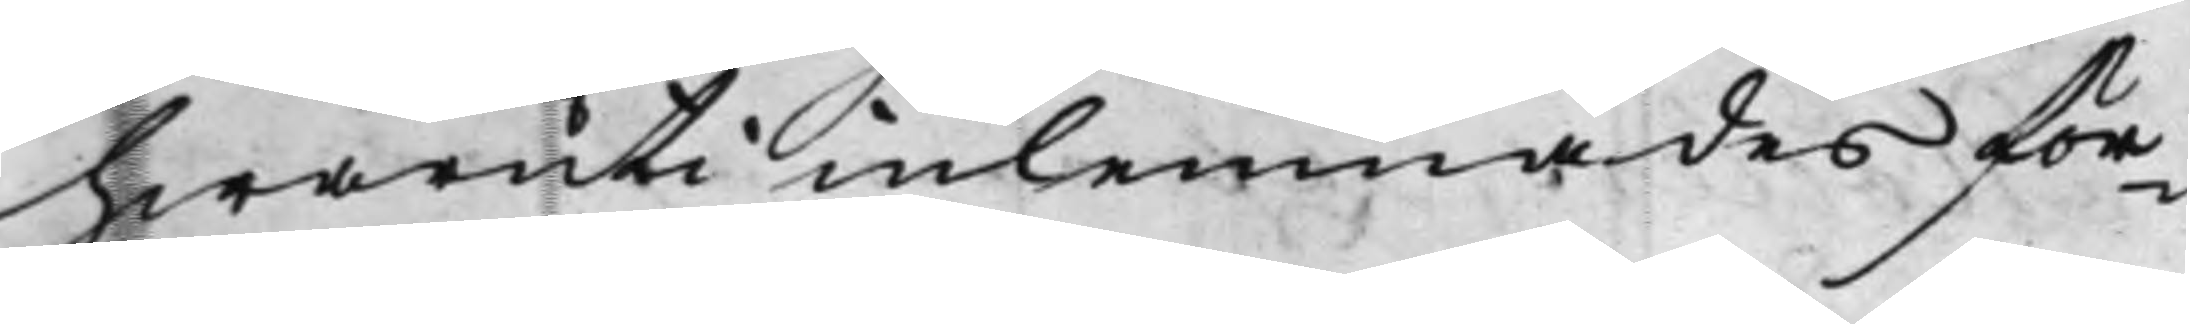hwaruti inlemnades för¬
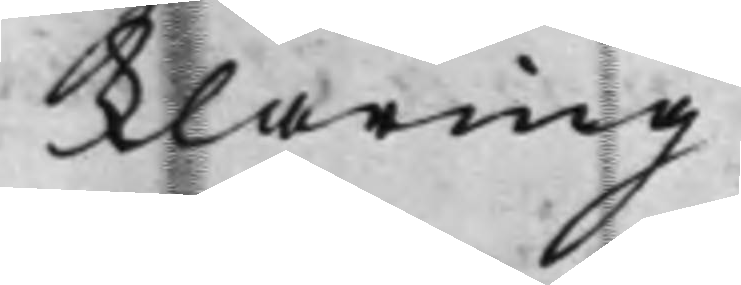klaring.
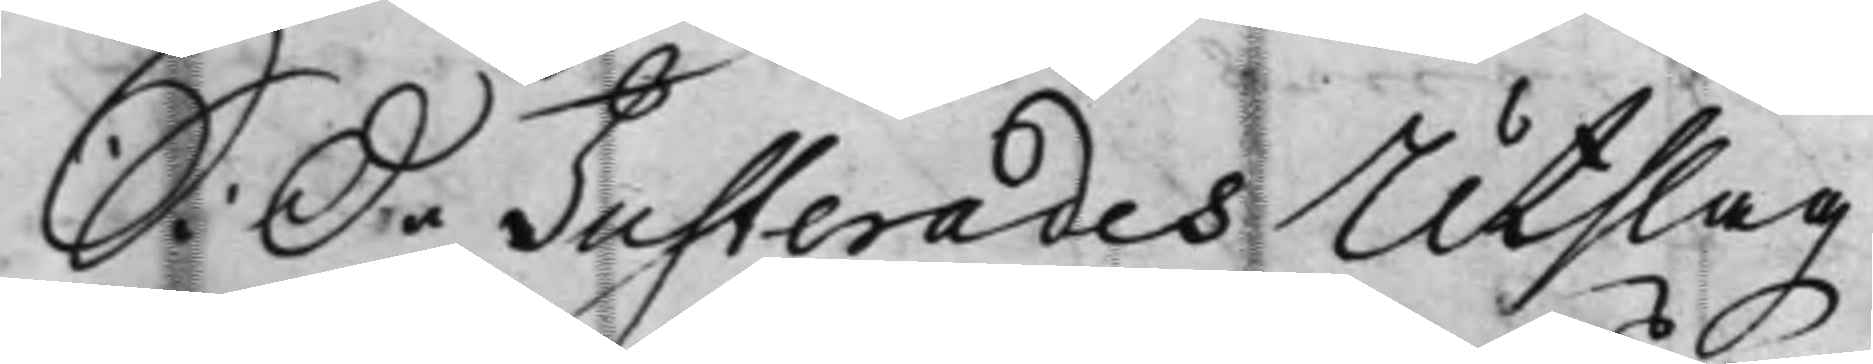S: D: Justerades Utslag
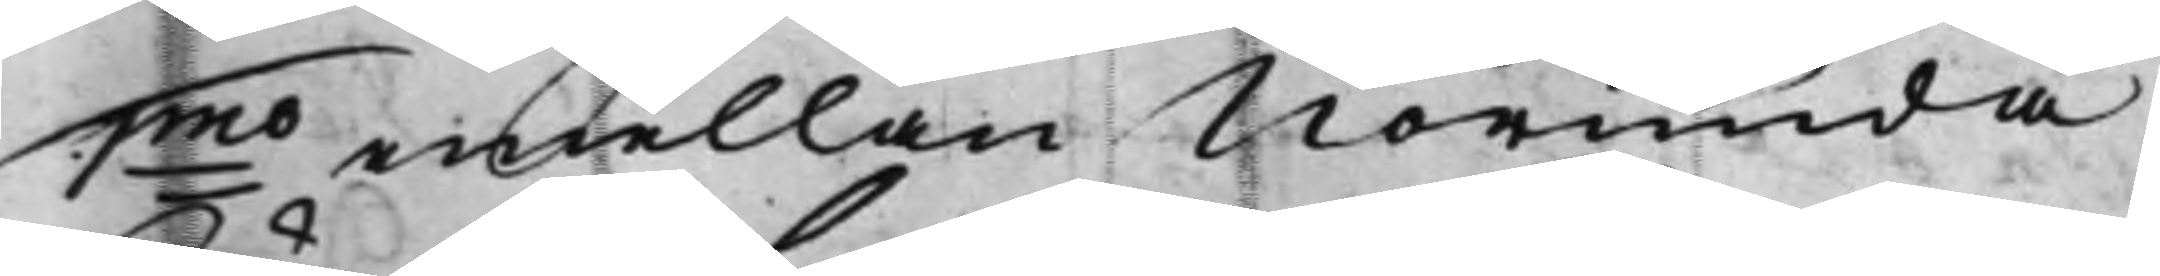1mo emellan Norunda
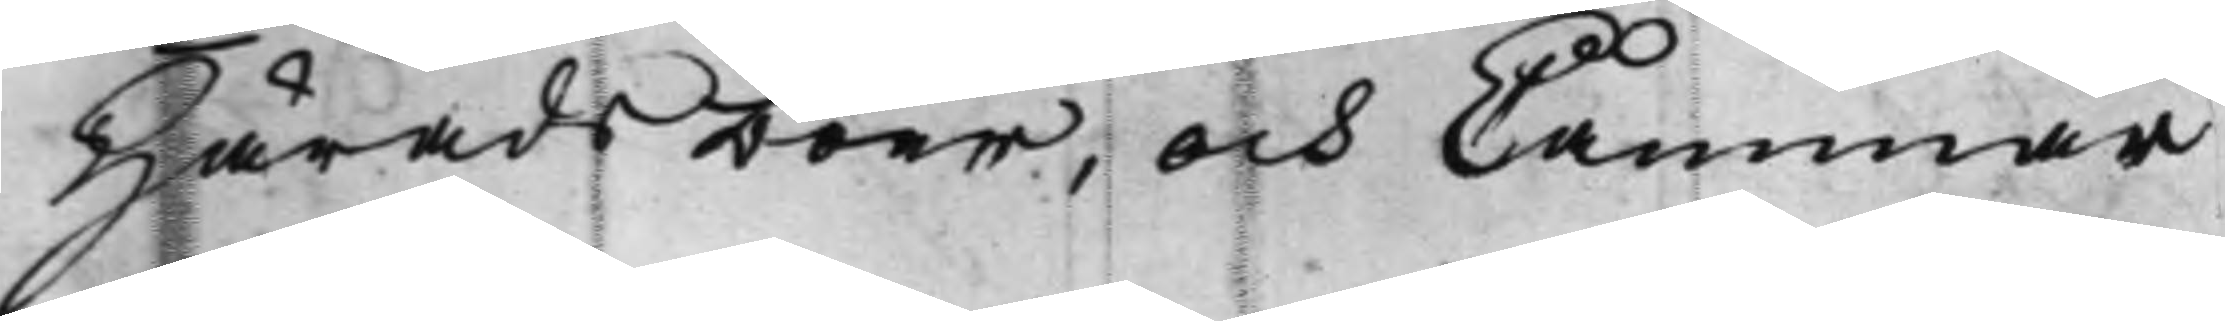Härads boer, och Cammar¬
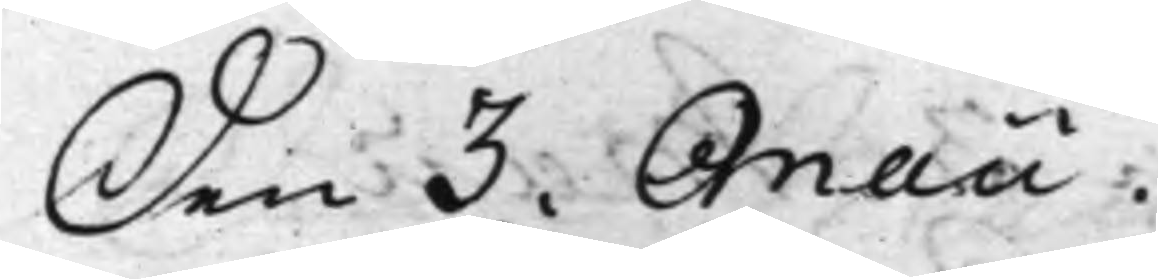Den 3. Maii.
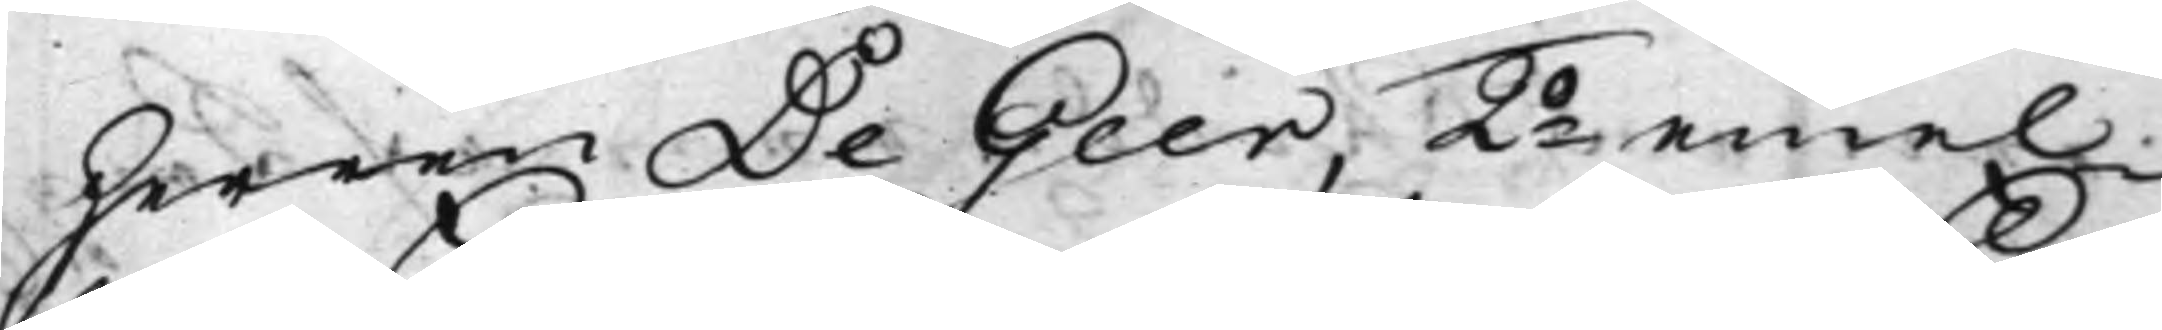herren De Geer, 2o emel¬
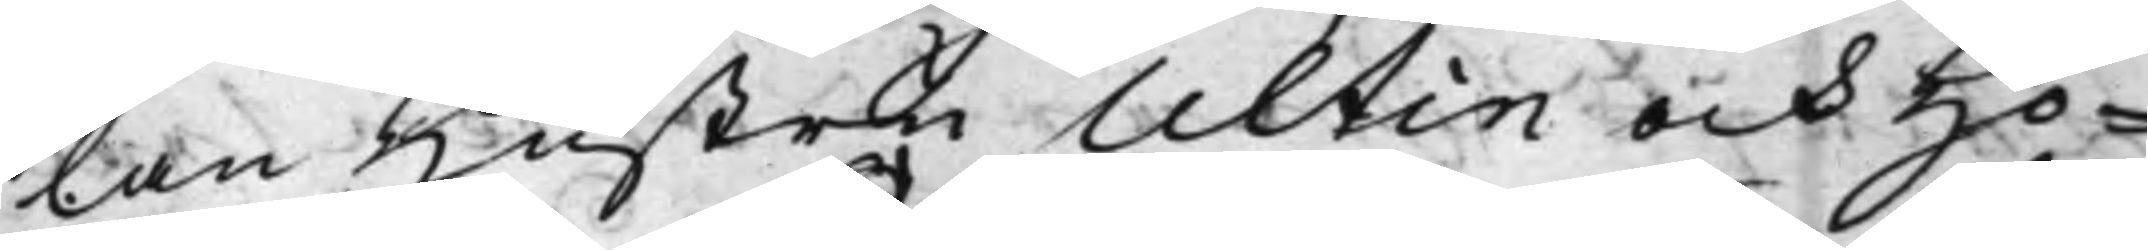lan Hustru Ultin och Hö¬
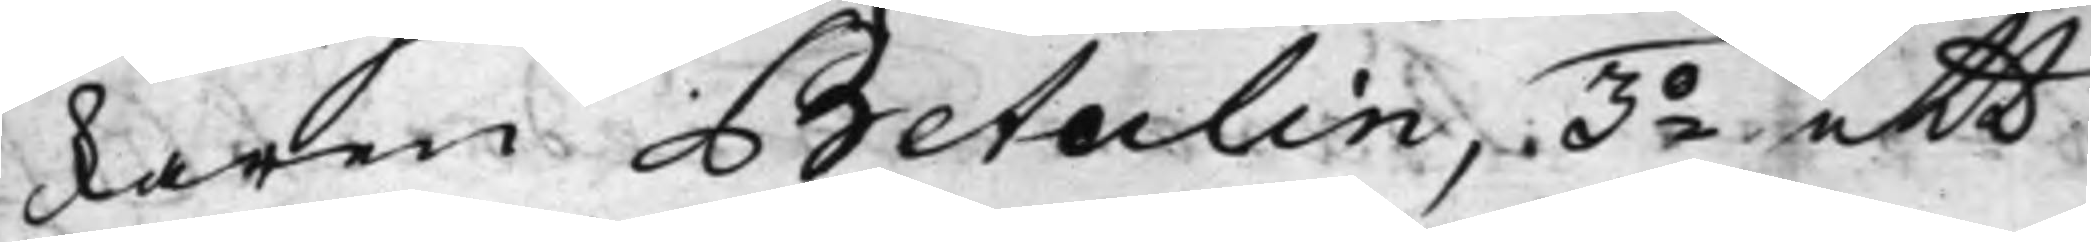karen Betulin, 3o ett
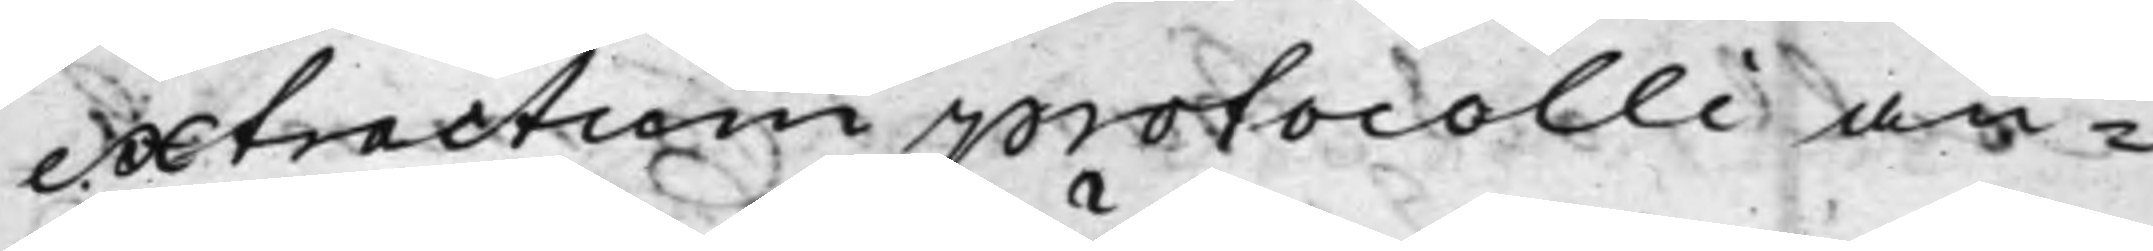extractum protocolli an¬
